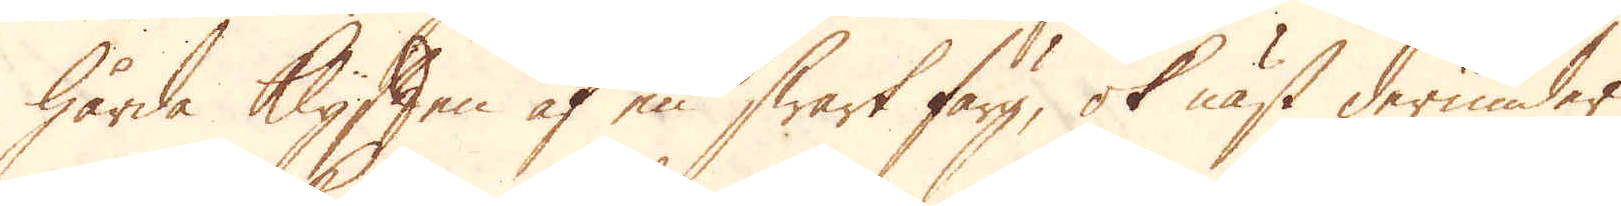hårda Klyften af en swart färg, ok näst derunder
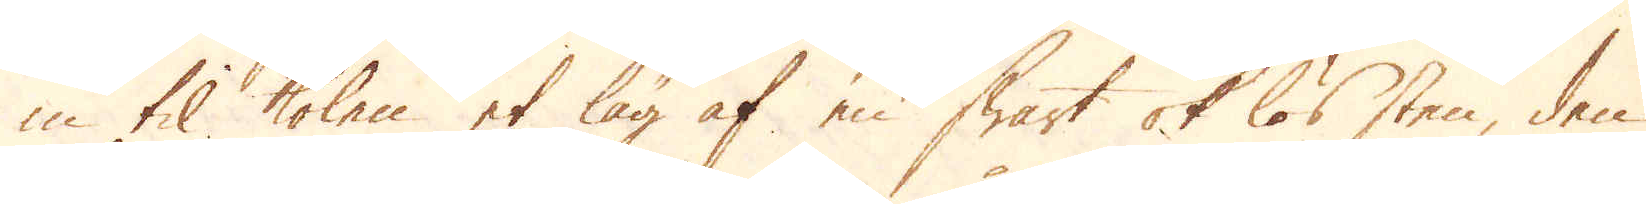in til kolen et lag af en swart ok lös sten, den
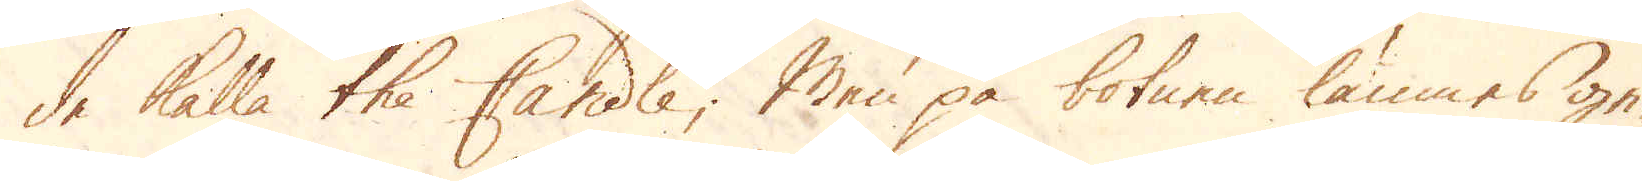de kalla the Candle; Men på botnen lämnas ge-
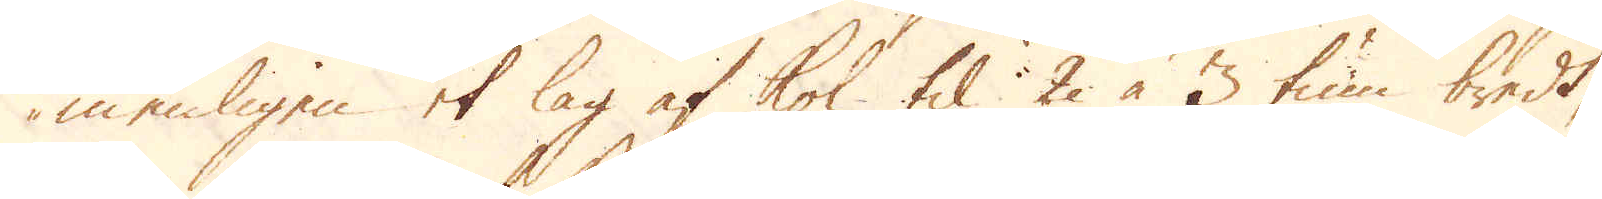menligen et lag af kol til 2 à 3 tum bredt,
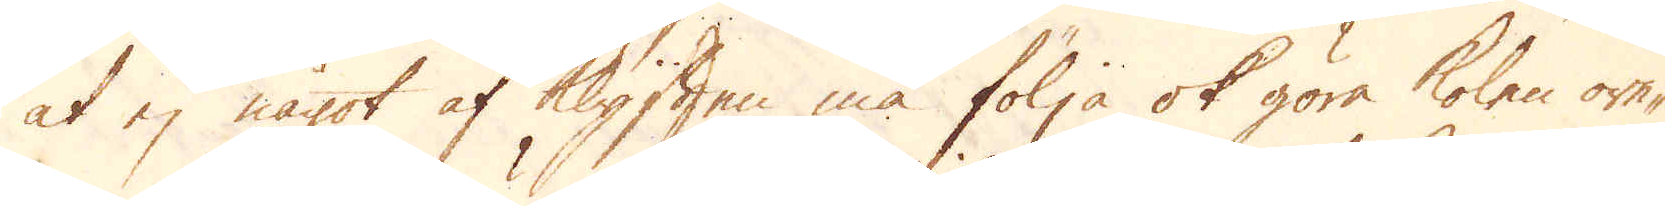at ej något af Klyften må följa ok göra kolen ore-
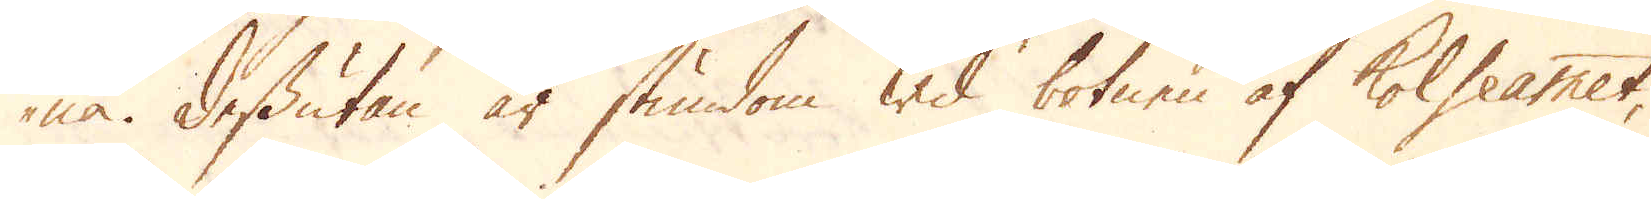na. Dessutan är stundom wid botnen af kolslammet,
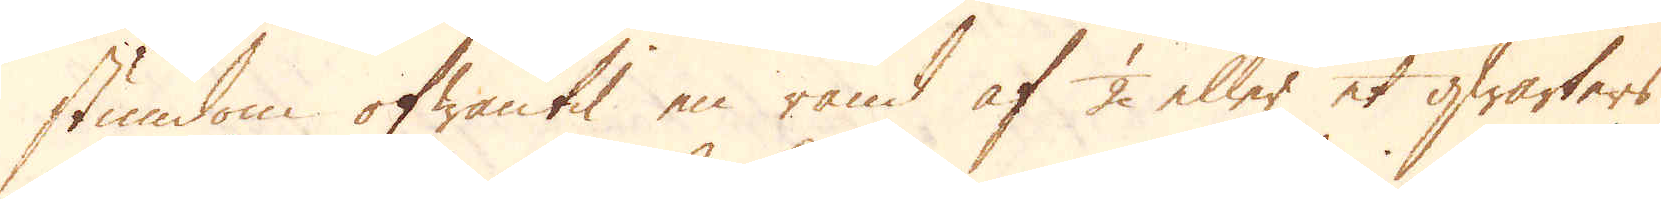stundom ofwantil en rand af 1/2 eller et qwarters
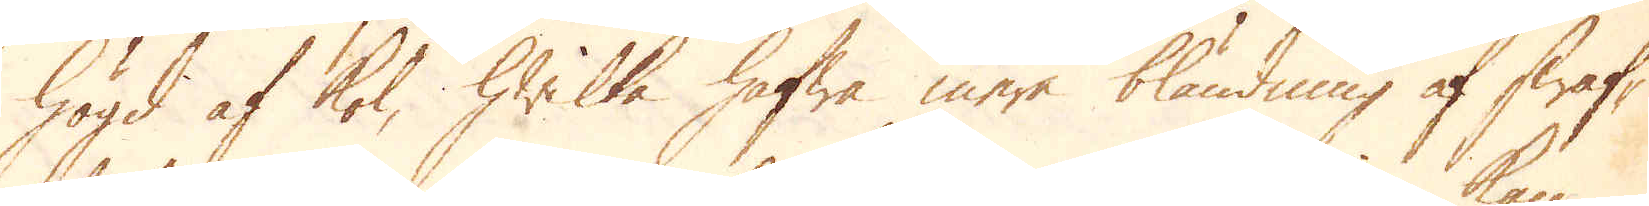högd af kol, hwilka hafwa mera bländning af swaf-
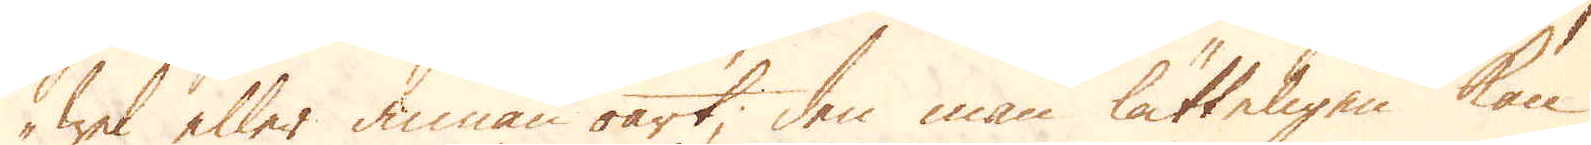wel eller annat oart; den man lätteligen kan
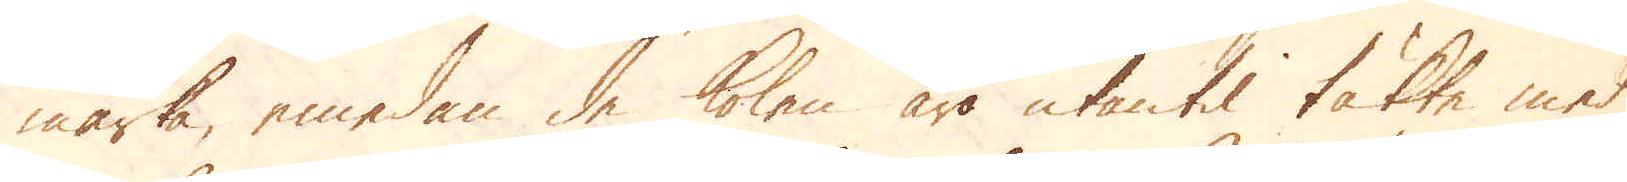märka, emedan de kolen äro utan til täkte med
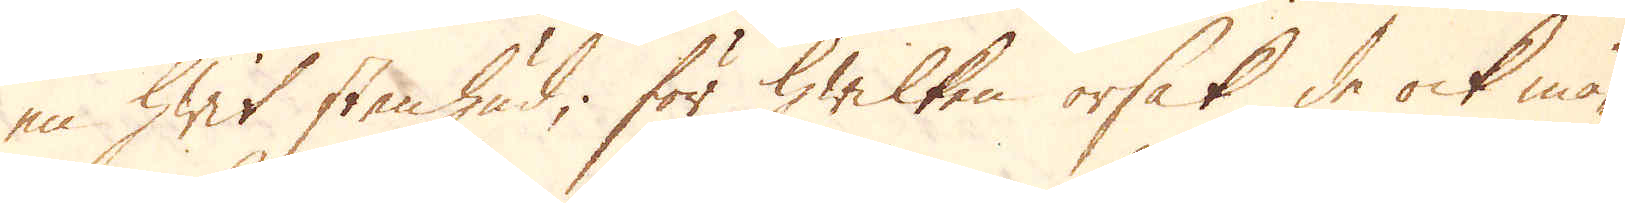en hwit stenhud, för hwilken orsak de ock må-
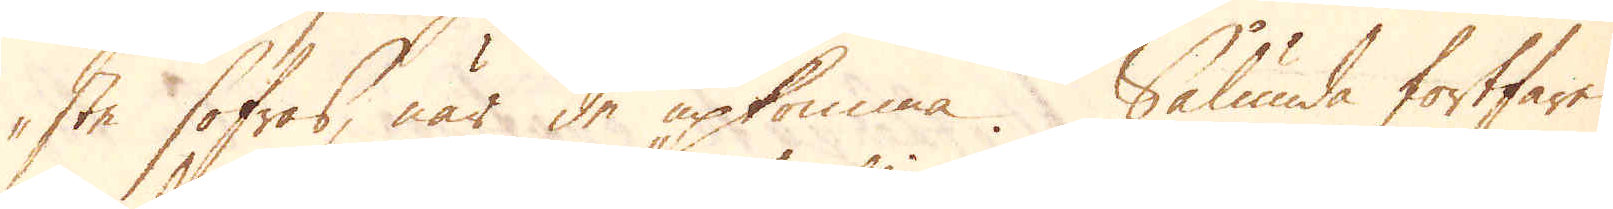ste sofras, när de upkomma. Sålunda fortfares
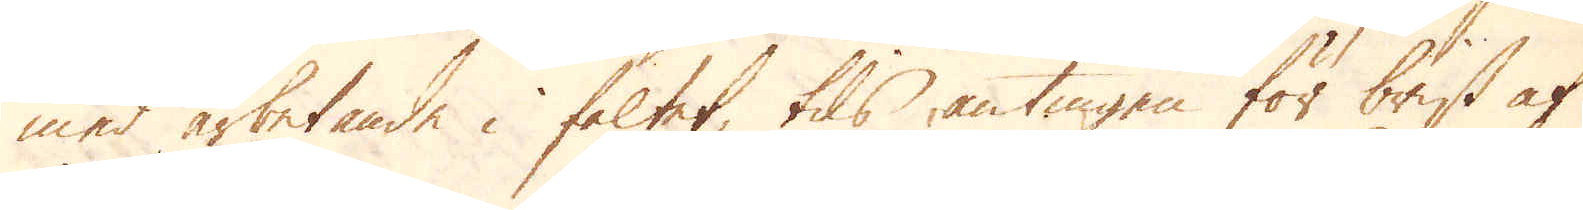med arbetande i fältet, tils antingen för brist af
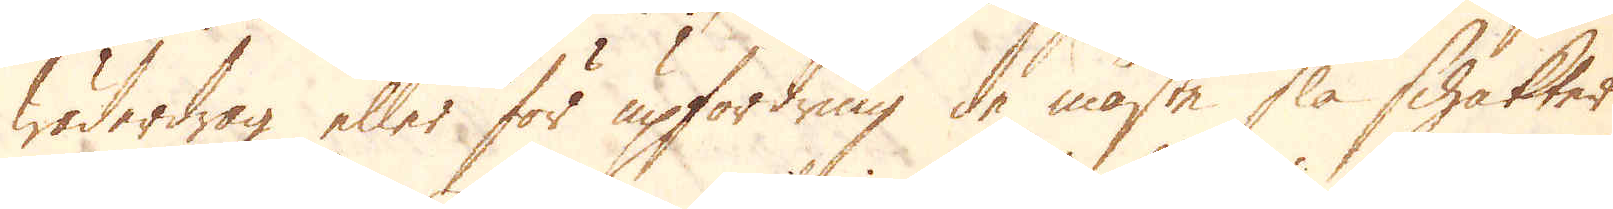wäderdrag eller för upfordring de måste slå schaktet
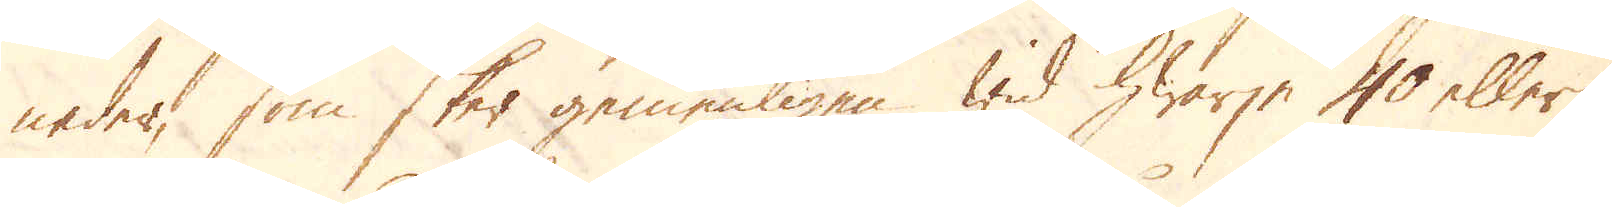neder, som sker gemenligen wid hwarje 40 eller
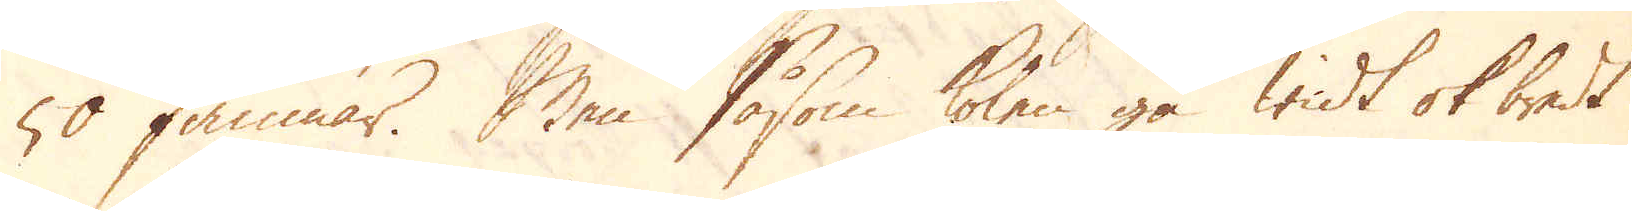50 famnar. Men såsom kolen gå widt ok bredt
